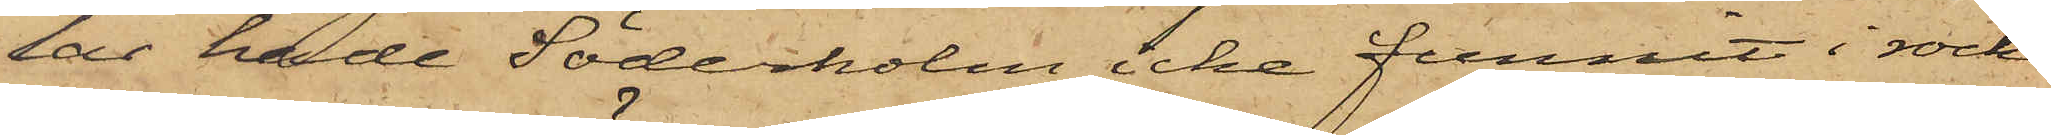lar hade Söderholm icke funnit i rocken
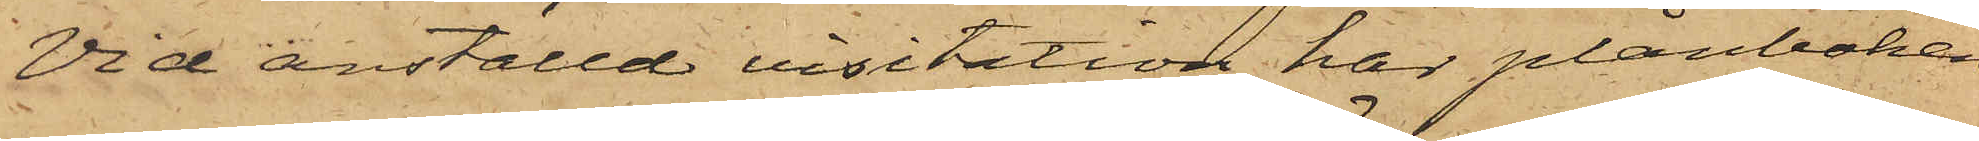Vid anställd visitation har plånboken
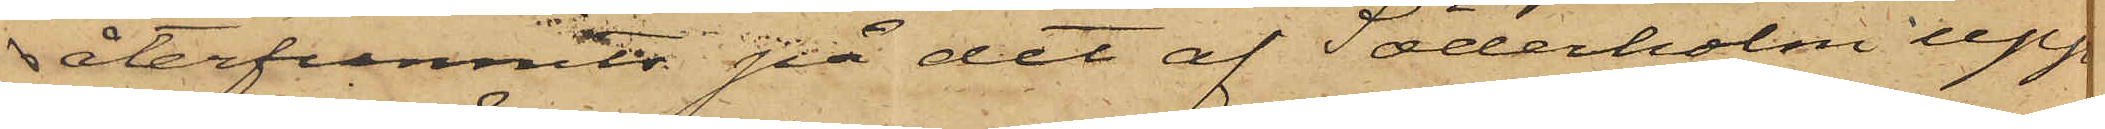återfunnits på det af Söderholm upp¬
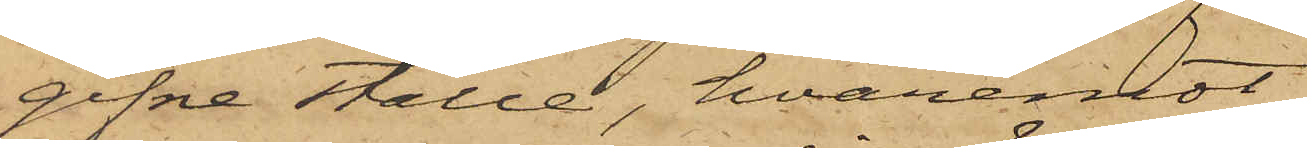gifne ställe, hvaremot
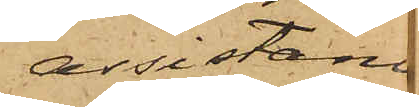assistanc
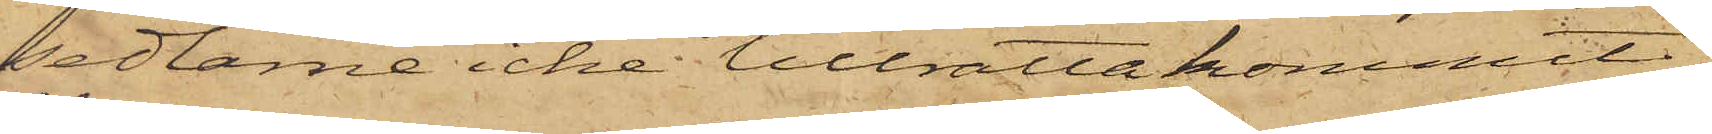sedlarne icke tillrättakommit.
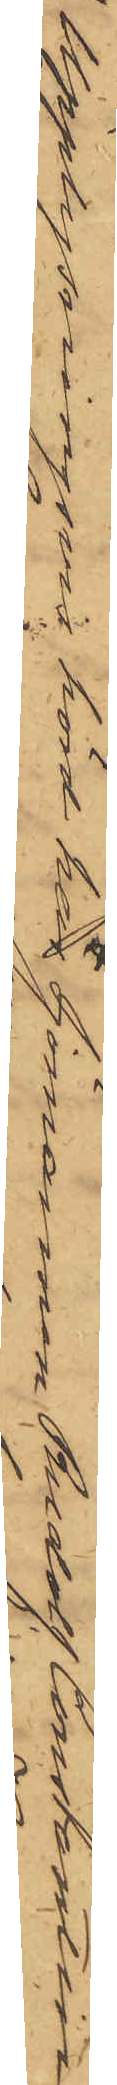Upplysningvis hörd har Sjömannen Rudolf Constantin
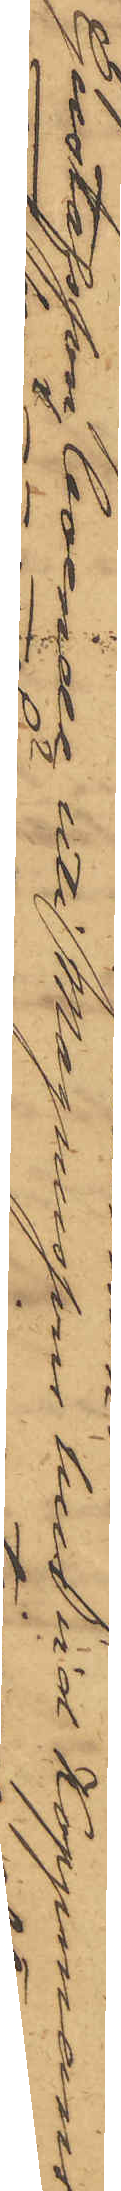Gustafsson, boende uti Magnussons hus vid Koppmans¬
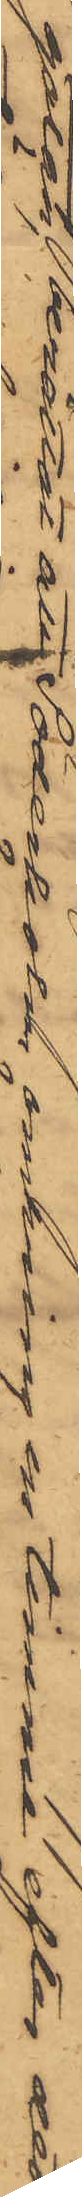gatan, berättat att Söderholm omkring en timme efter det
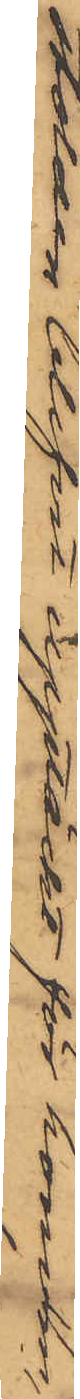stölden blifvit upptäckt för honom,
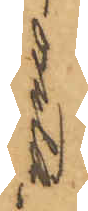omta¬
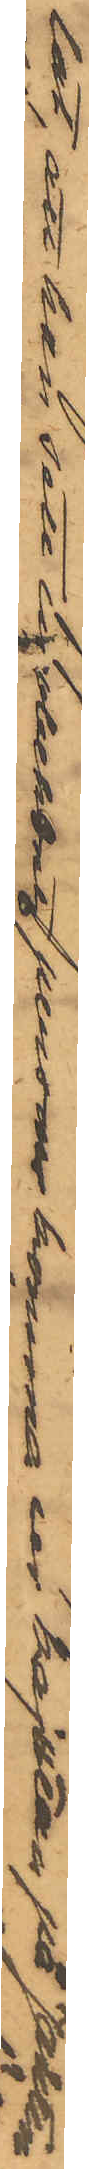lat, att han sett en obekant person komma ur kajutan på Jakten
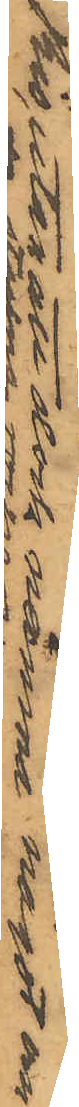Rio, utan att dock nämna något om
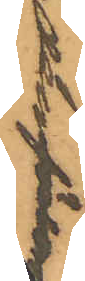den förlor
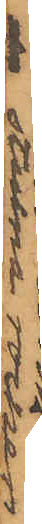stulna rocken.
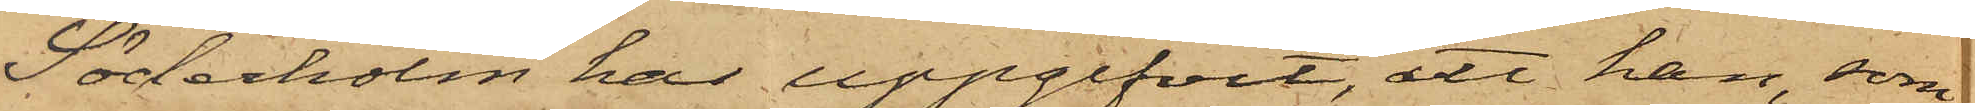Söderholm har uppgifvit, att han, som
